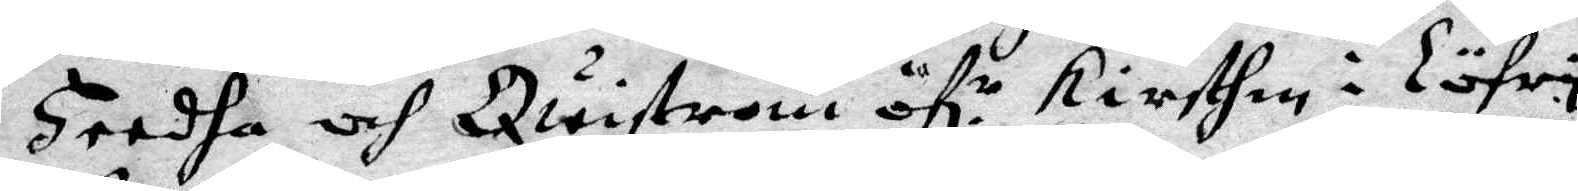Heedha och Quistrom öf.r Kirsten i Löfry,
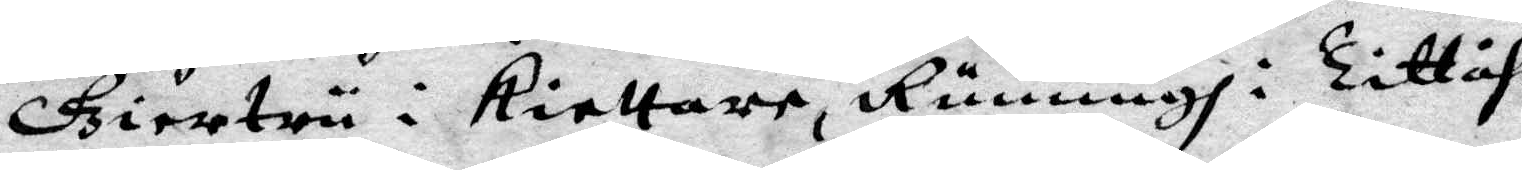Giertru i kiellare, Runnungh i Tittåhs,
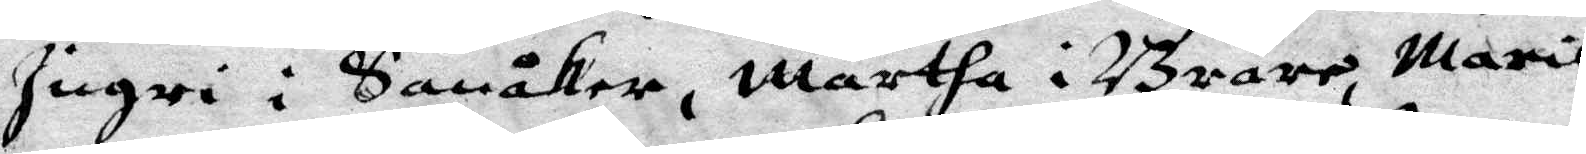Ingri i Sanåker, Märtha i Bråre, Marit
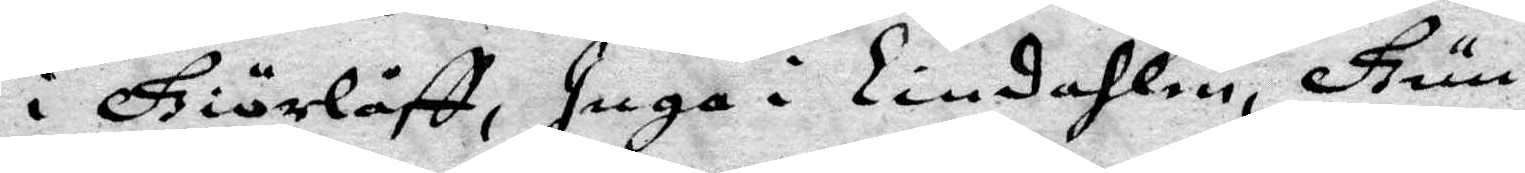i Giörlåff, Inga i Lindahlen, Gun¬
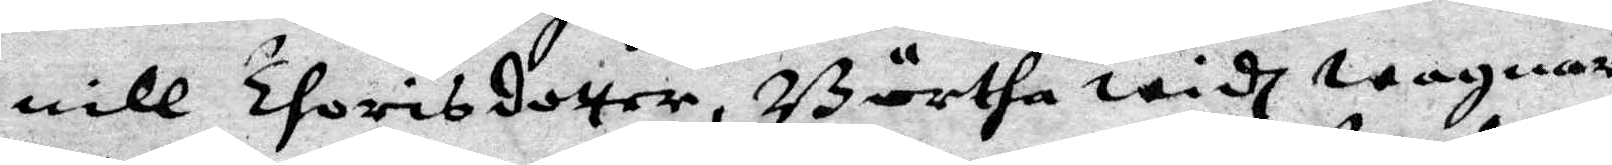nill Thorisdotter, Börtha widh wagnare,
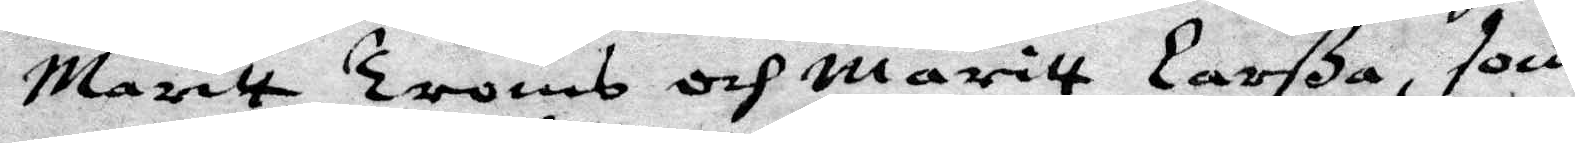maritt Troms och Maritt Larßa, som
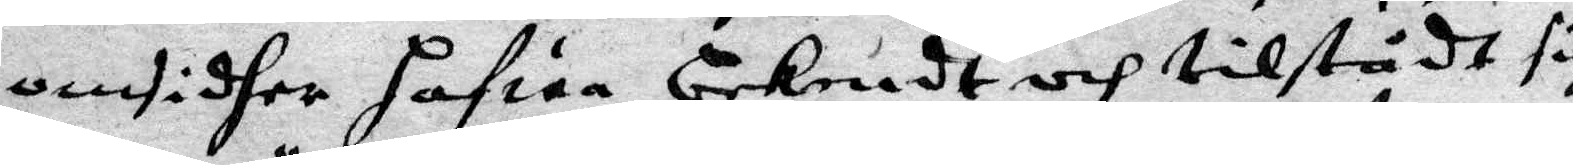omsidher hafwa bekendt och tilstådt sig,
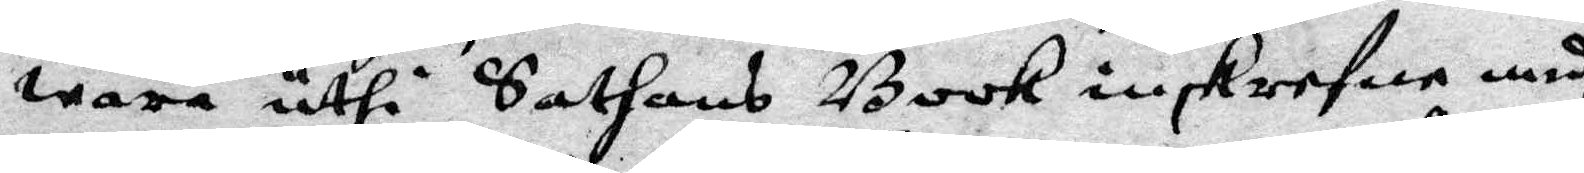wara uthi Sathans Book inskrefne medh
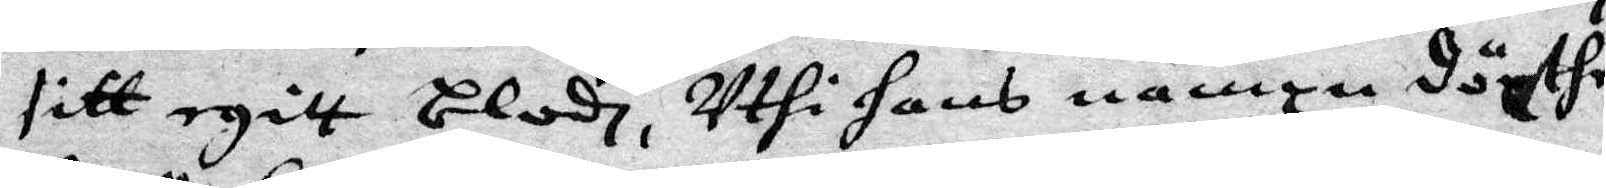sitt egitt blodh, uthi hans nampn döpthe,
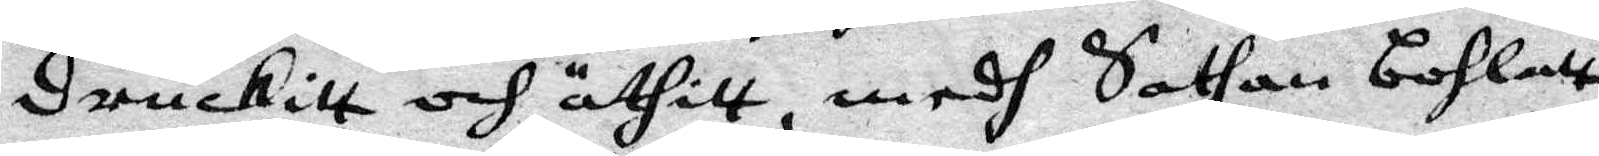druckitt och äthitt, medh Sathan bohlatt
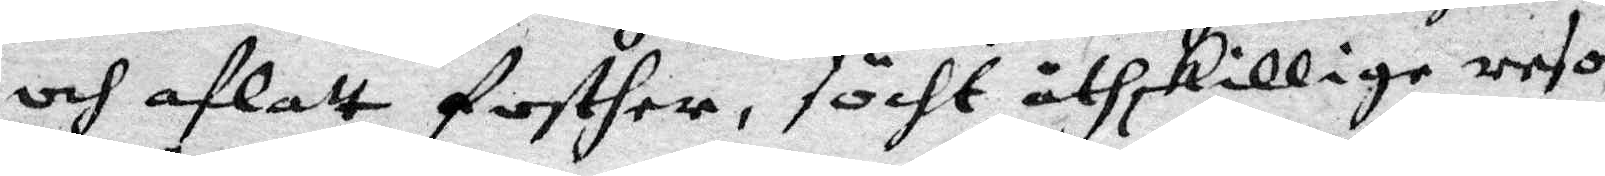och aflatt fosther, söckt åtskillige resor
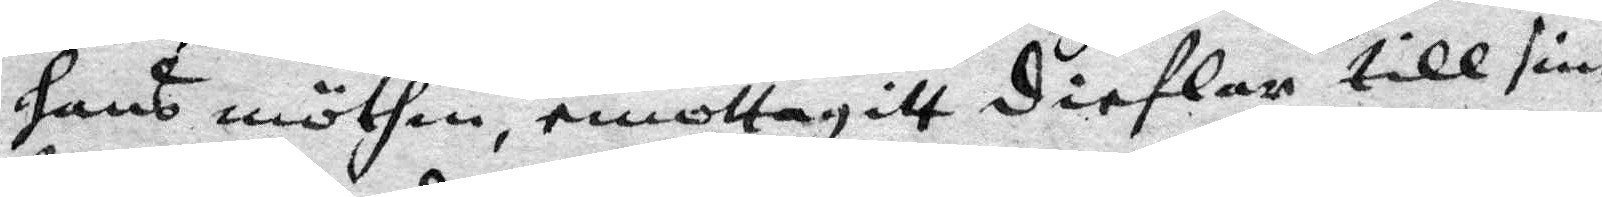hans möthen, emottagitt dieflat till sine
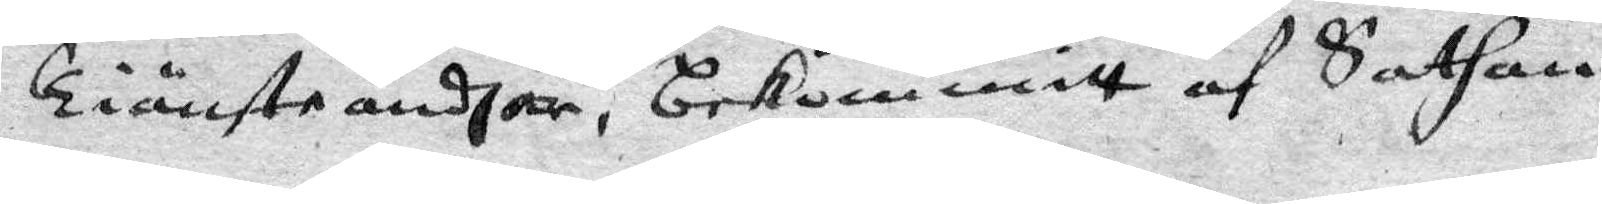Tiänsteandhar, bekommitt af Sathan
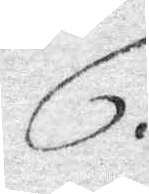6.
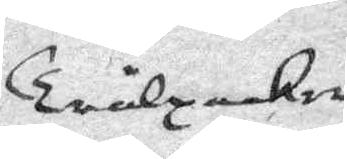Trålpackor
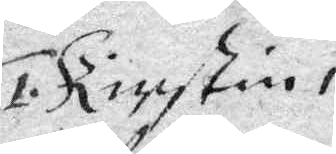1. Kierstin i
